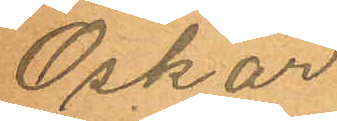Oskar
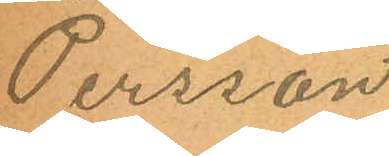Persson
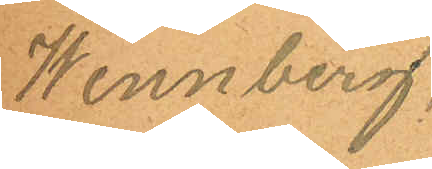Wennberg.
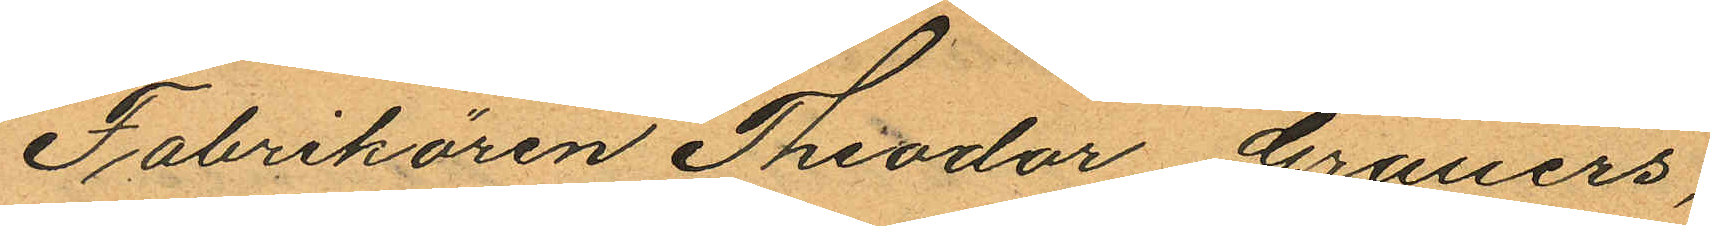Fabrikören Theodor Grauers,
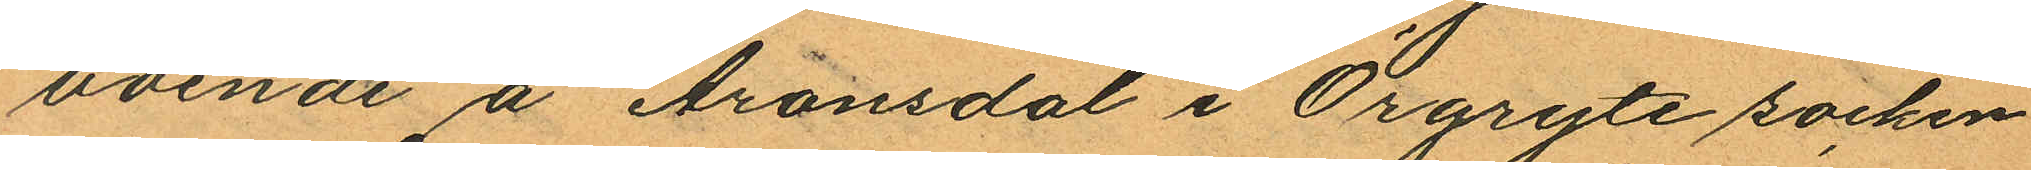boende å Aronsdal i Örgryte socken
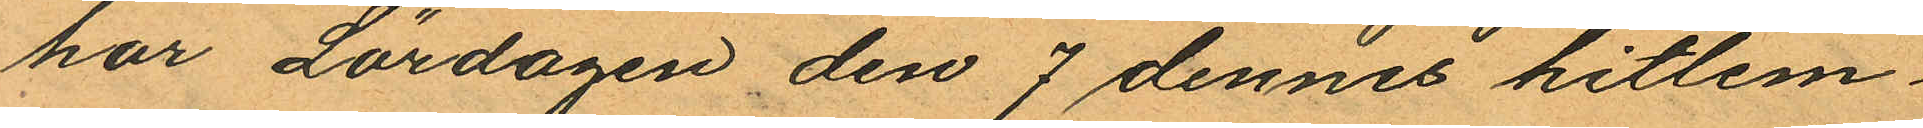har Lördagen den 7 dennes hitlem¬
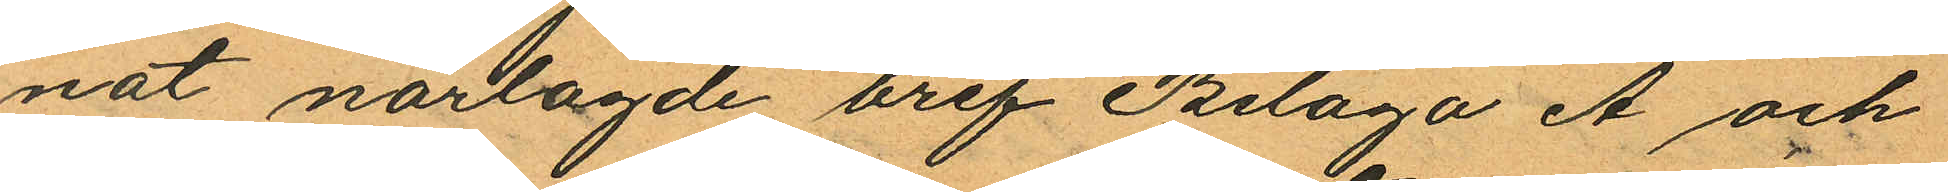nat närlagde bref Bilaga A och
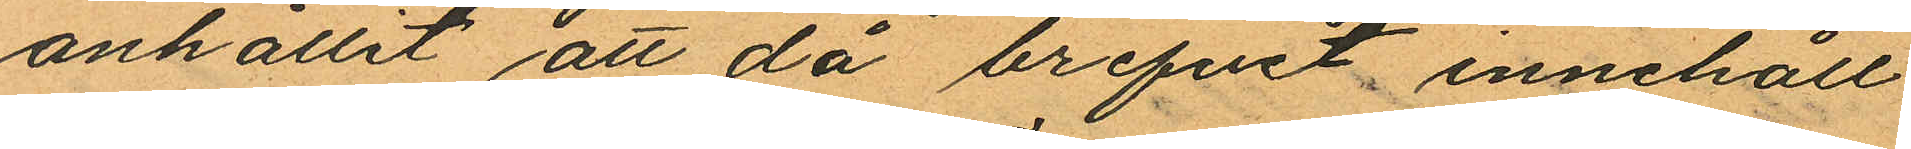anhållit att då brefvet innehåll
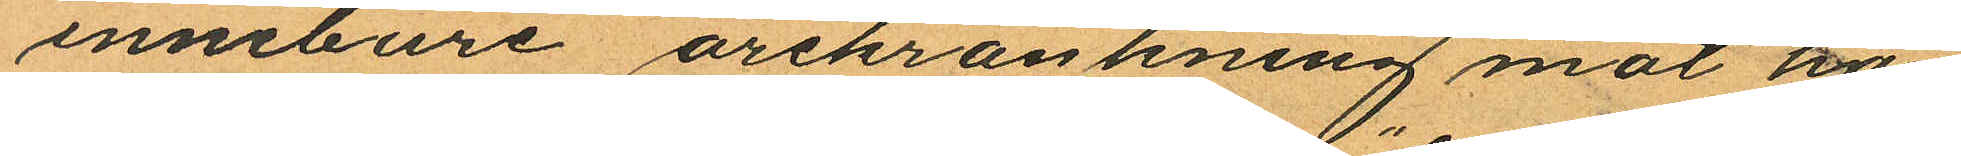innebure ärekränkning mot ho
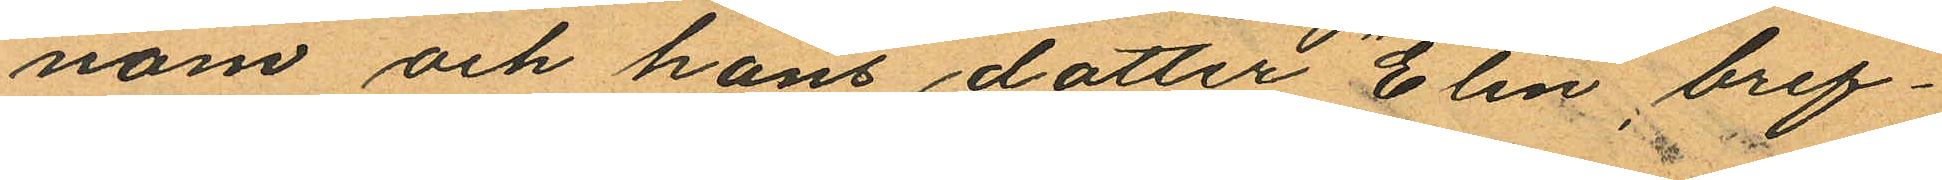nom och hans dotter "Elin", bref¬
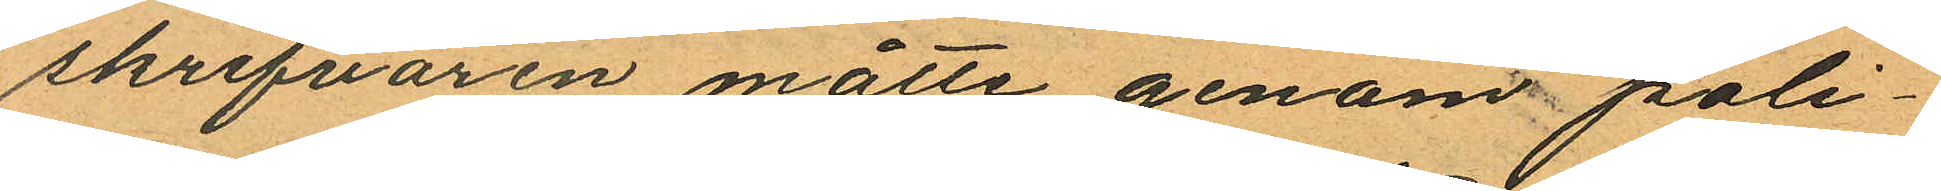skrifvaren måtte genom poli¬
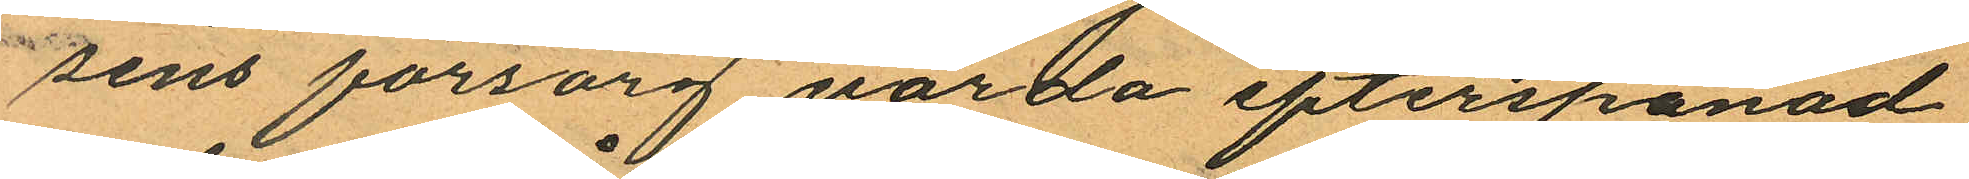sens försorg varda efterspanad
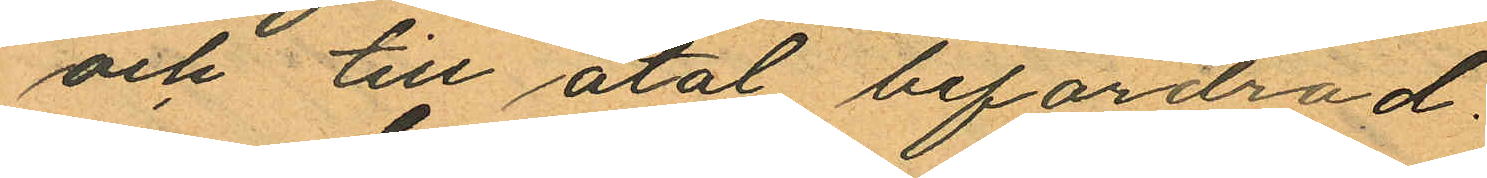och till åtal befordrad.
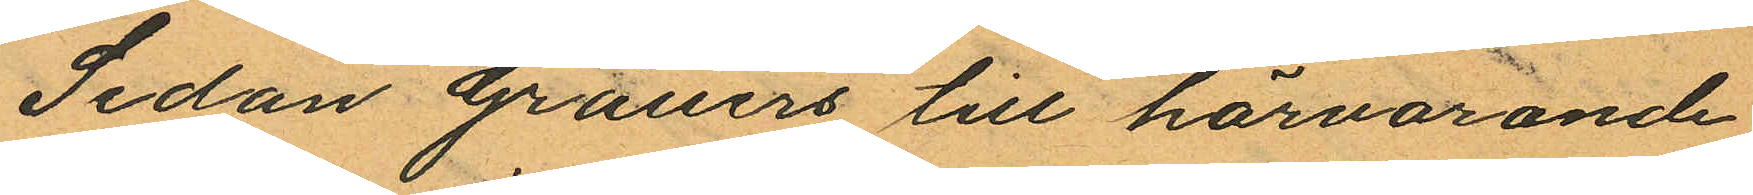Sedan Grauers till härvarande
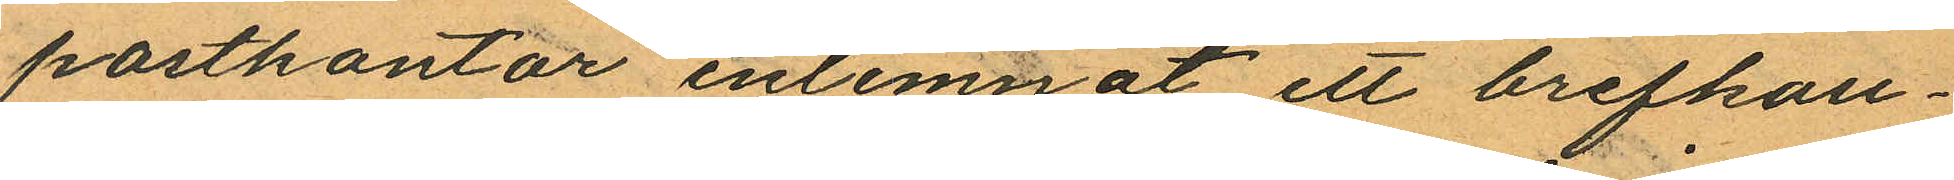postkontor inlemnat ett brefkou¬
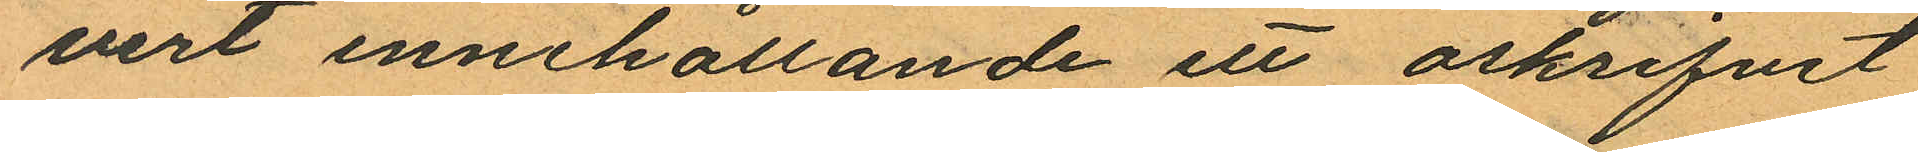vert innehållande ett oskrifvet
